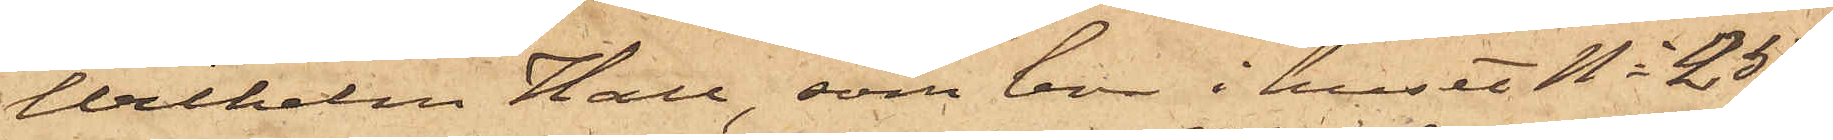Wilhelm Hall, som bor i huset No 25
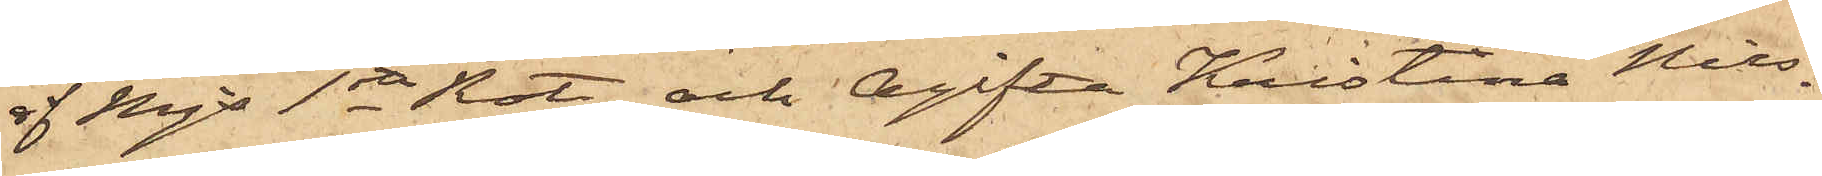af Mjs 1ste Rote, och Ogifta Kristina Nils¬
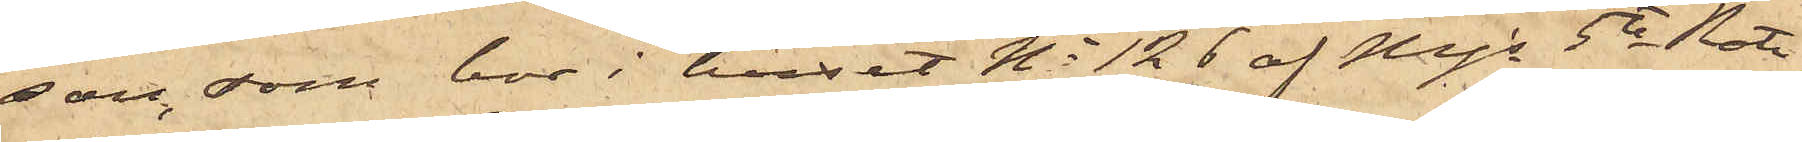son, som bor i huset No 126 af Mjs 5te Rote,
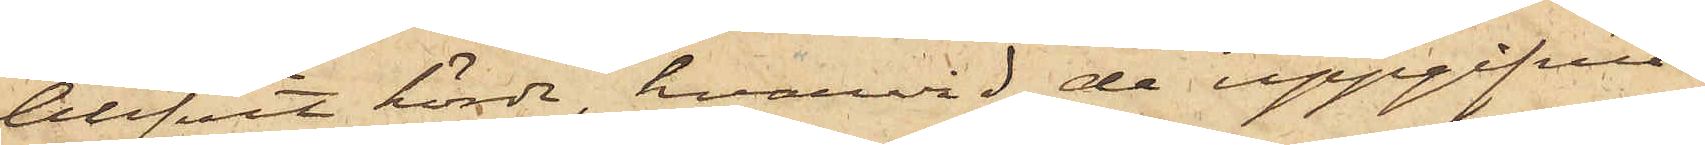blifvit hörde, hvarvid de uppgifvit.
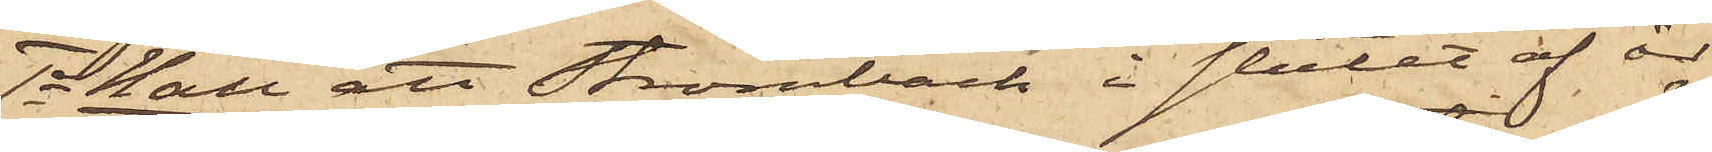1o Hall att Strömbäck i slutet af år
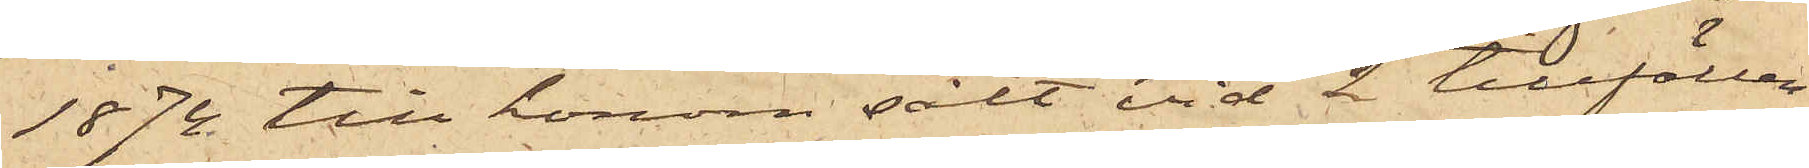1874 till honom sålt vid 2 tillfällen
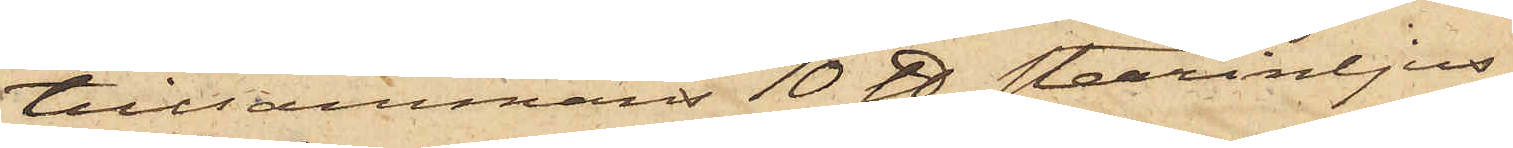tillsammans 10 ℔ stearinljus
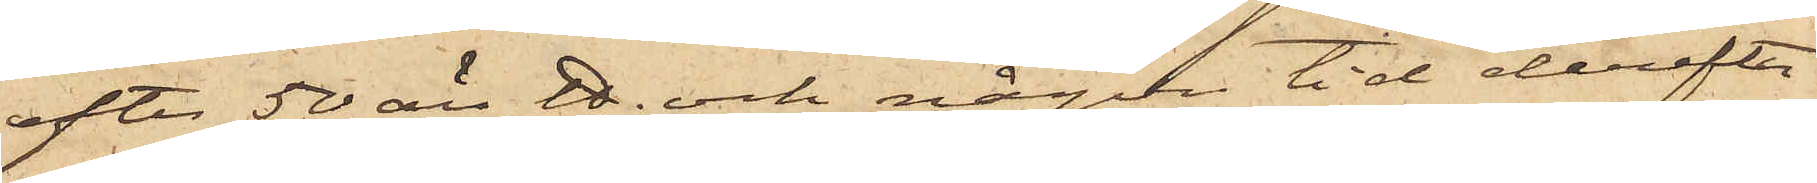efter 50 öre ℔ och någon tid derefter
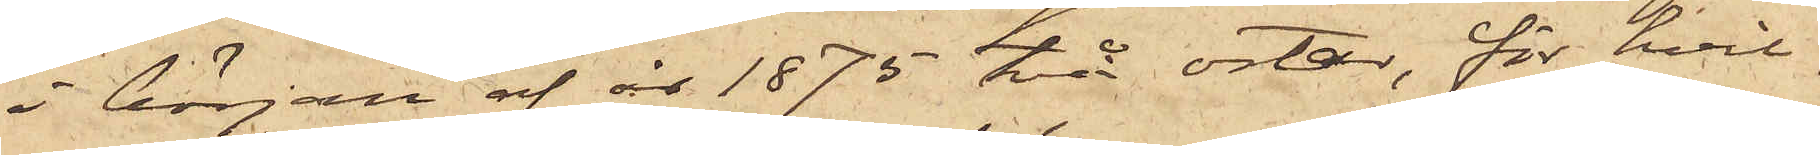i början af år 1875, två ostar, för hvil¬
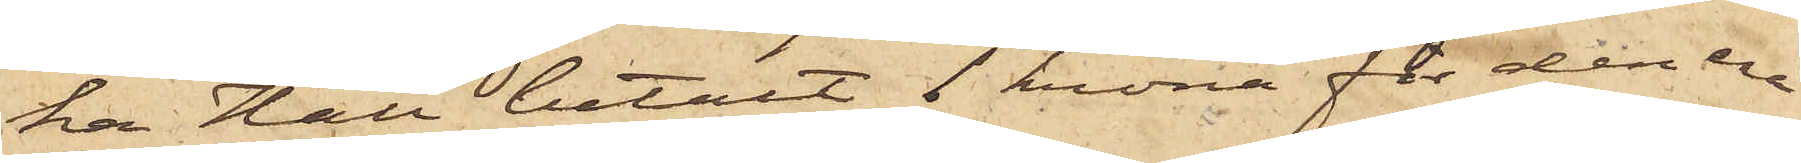ka Hall betalt 1 krona för den ena
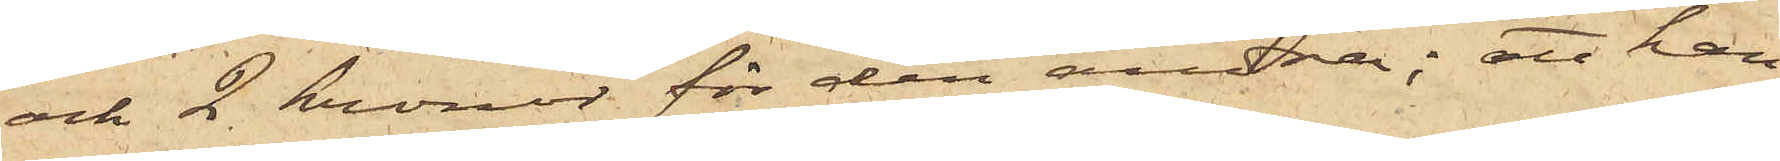och 2 kronor för den andra; att han
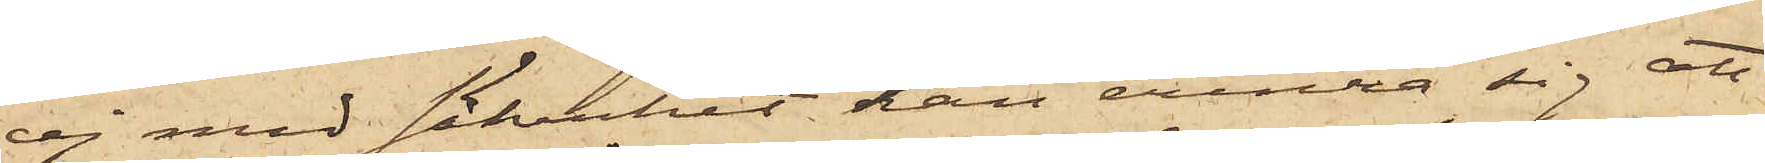ej med säkerhet kan erinra sig att
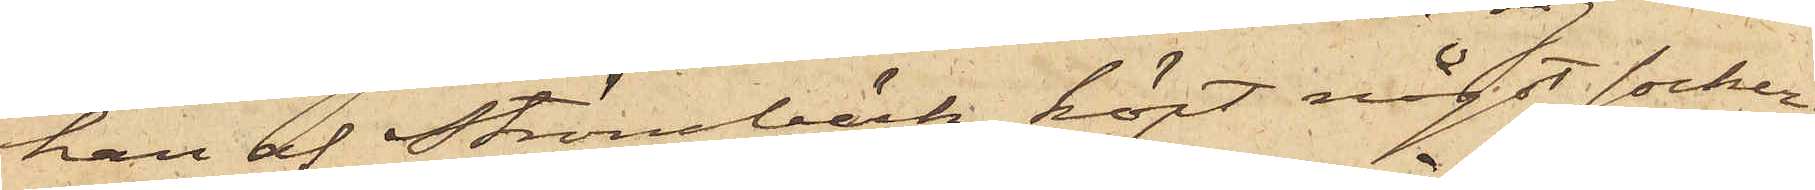han af Strömbäck köpt något socker;
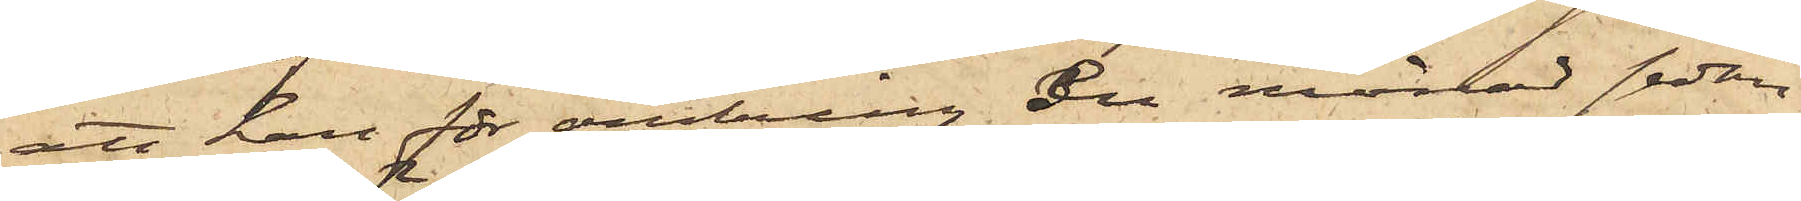att han för omkring en månad sedan
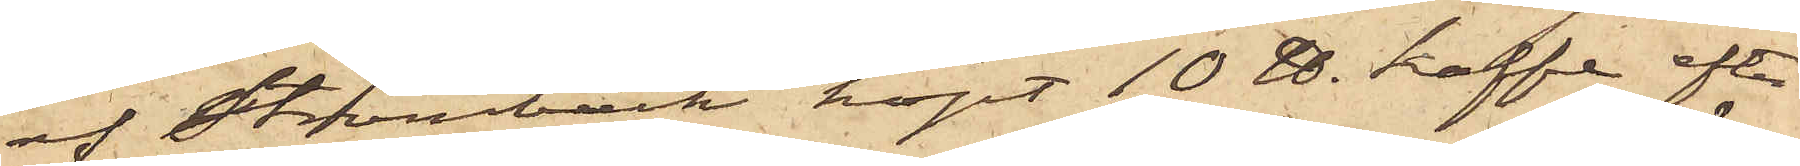af Strömbäck köpt 10 ℔ kaffe efter
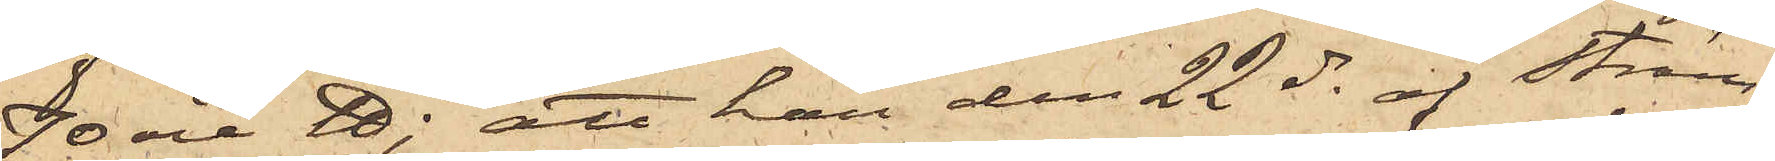70 öre ℔; att han den 22 ds af Ström¬
